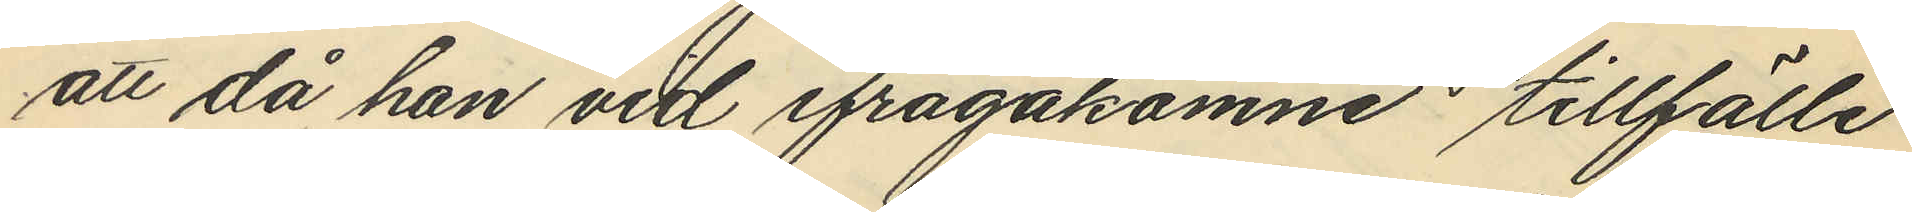att då han vid ifrågakomne tillfälle
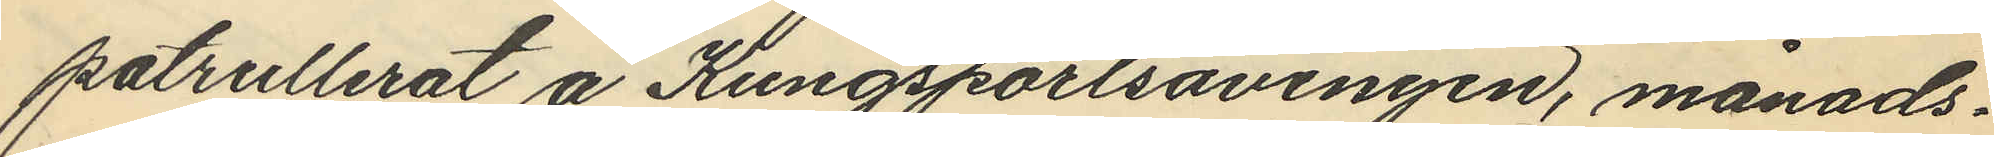patrullerat å Kungsportsavenyen, månads¬
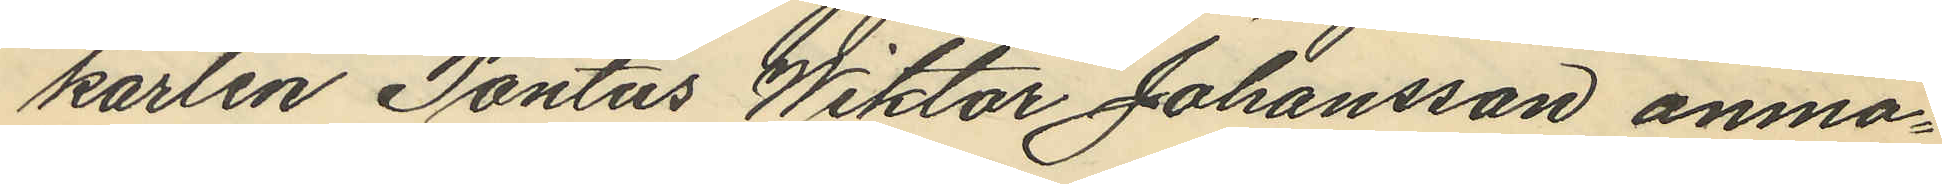karlen Pontus Wiktor Johansson anmo¬
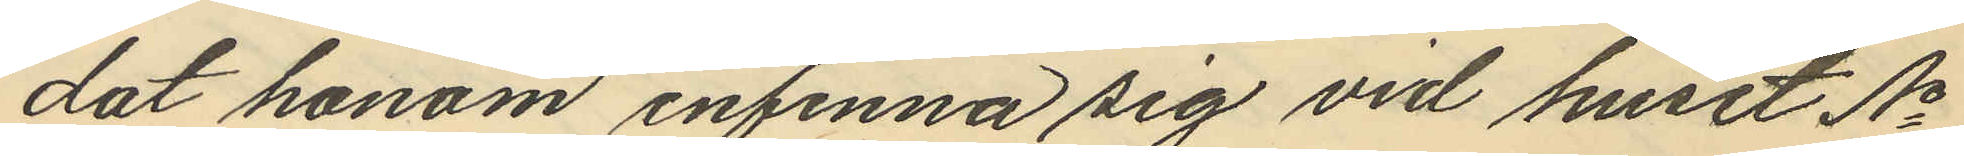dat honom infinna sig vid huset No
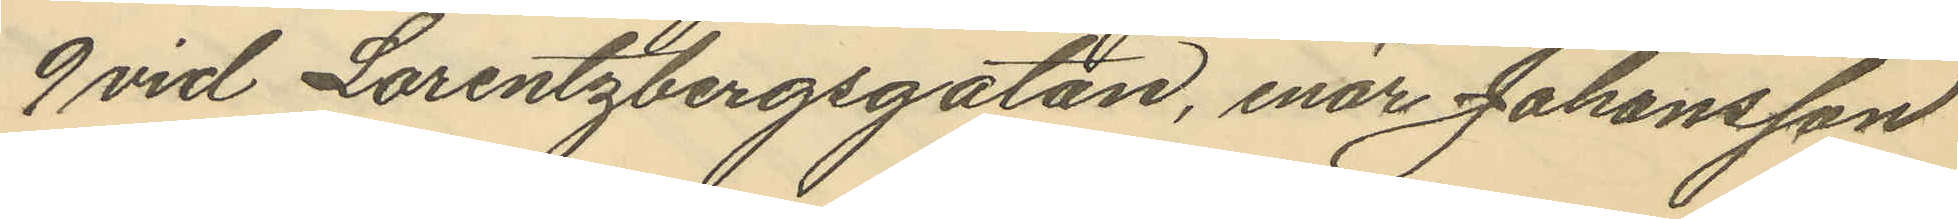9 vid Lorentzbergsgatan, enär Johansson
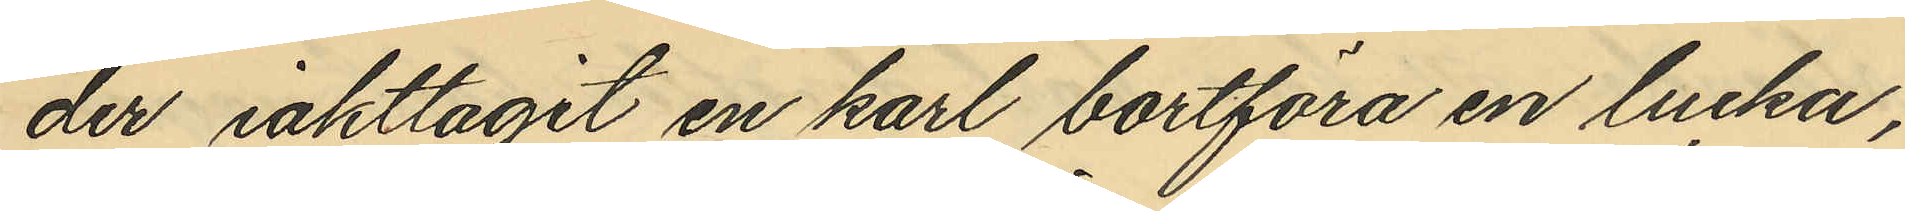der iakttagit en karl bortföra en lucka,
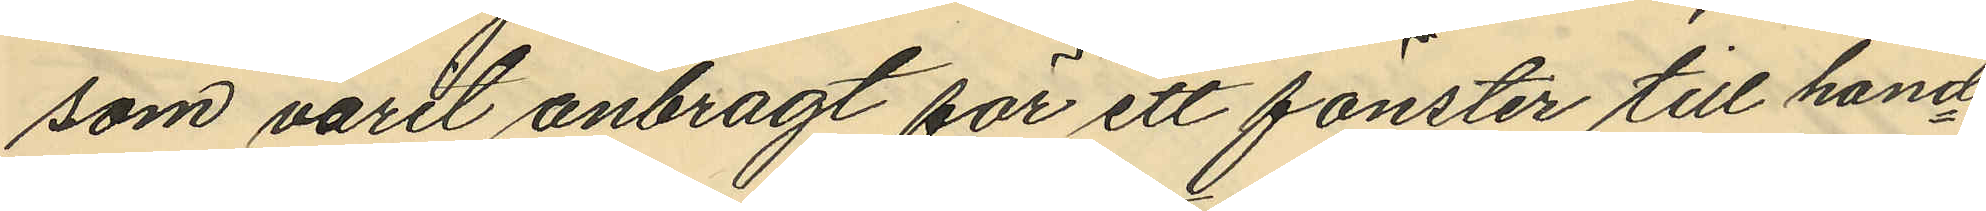som varit anbragt för ett fönster till hand¬
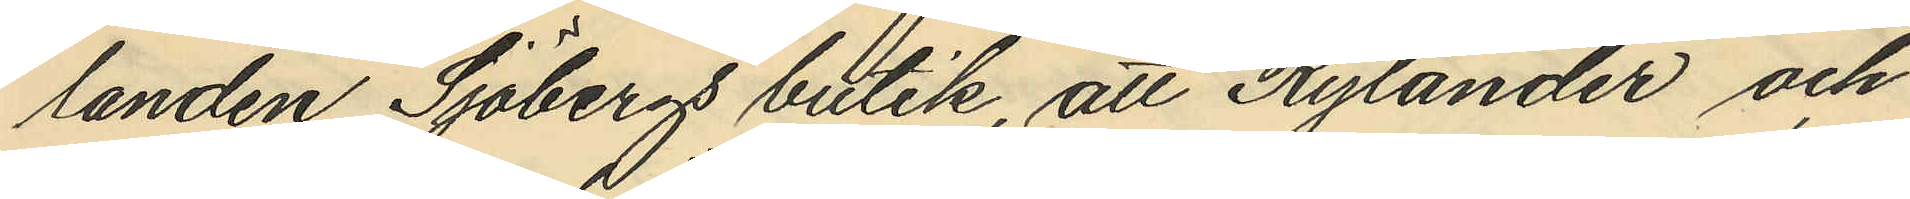landen Sjöbergs butik, att Rylander och
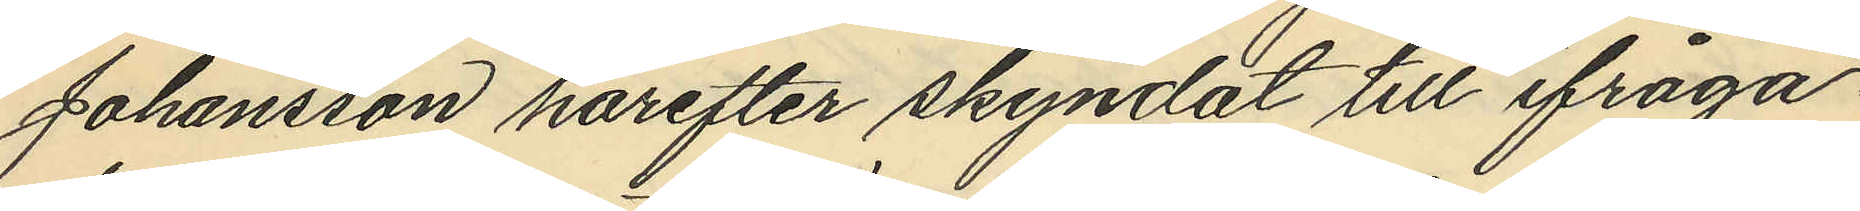Johansson härefter skyndat till ifråga¬
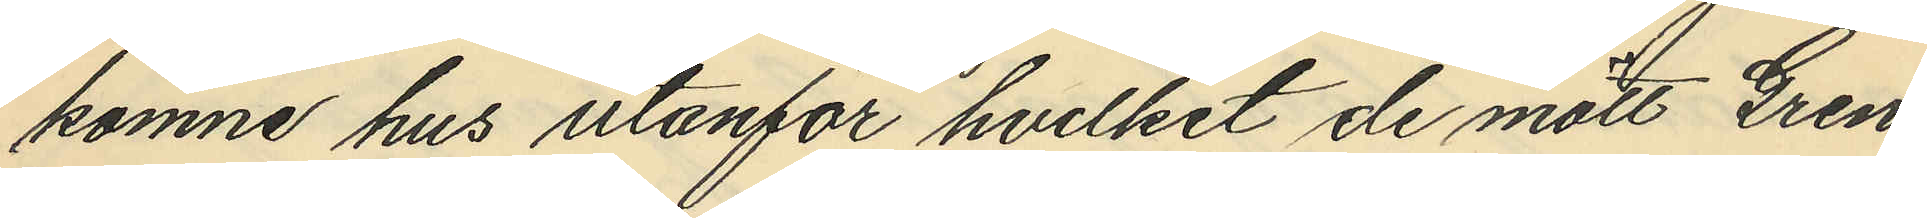komne hus utanför hvilket de mött Gren
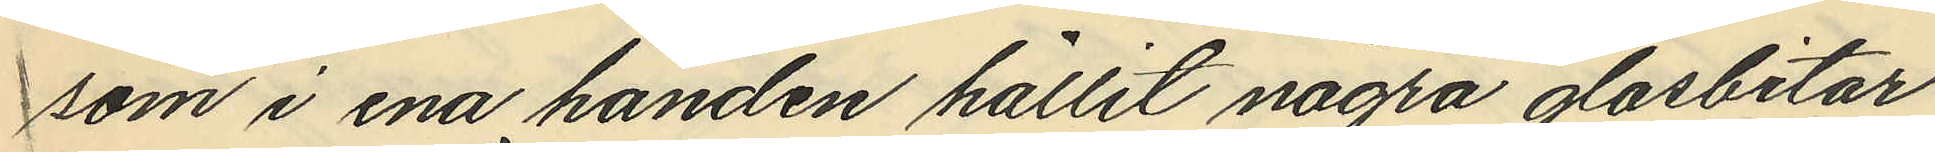som i ena handen hållit några glasbitar
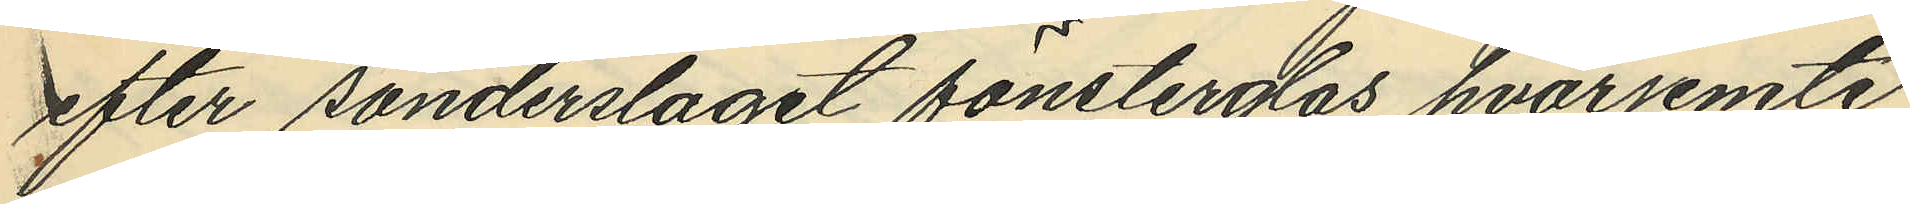efter sönderslaget fönsterglas hvarjemte
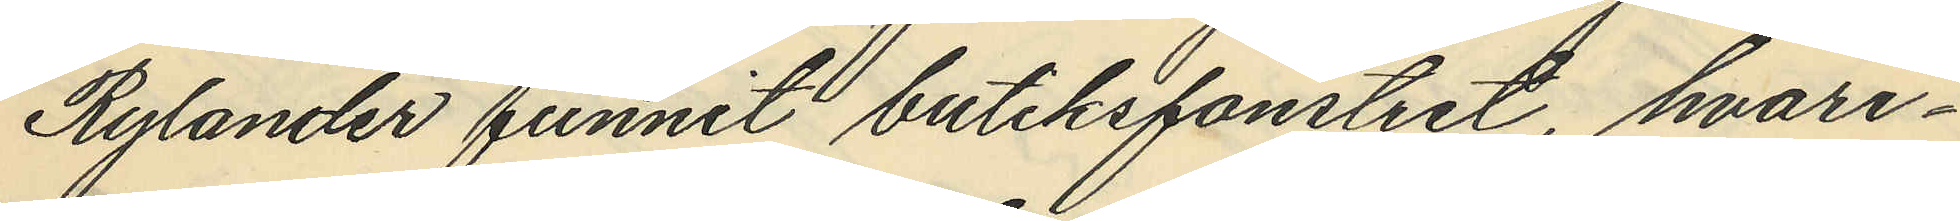Rylander funnit butiksfönstret, hvari¬
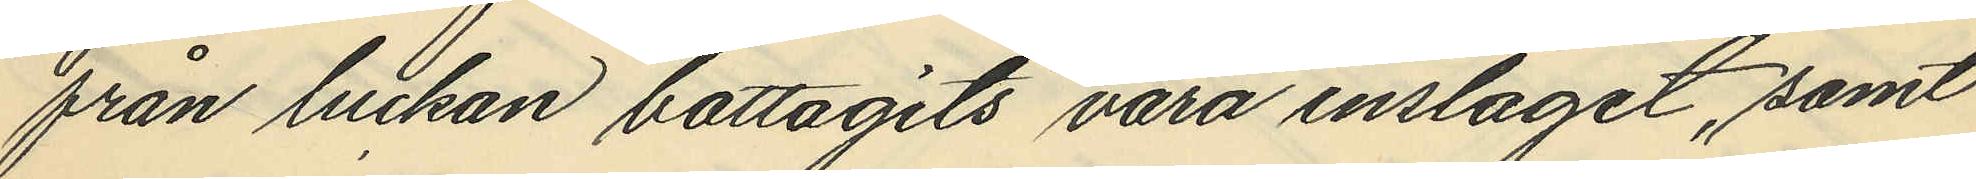från luckan bottagits vara inslaget, samt
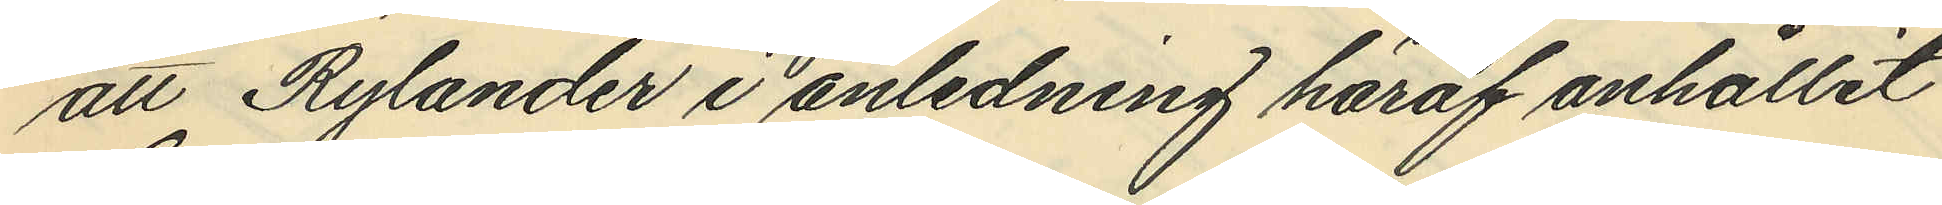att Rylander i anledning häraf anhållit
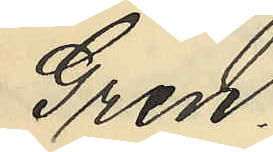Gren.
